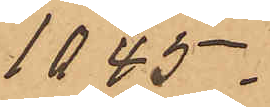1045.
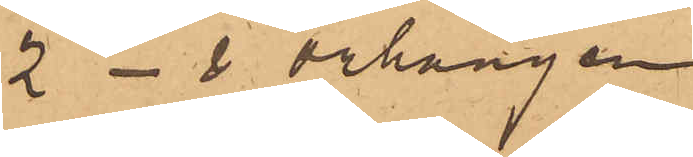2 do örhängen
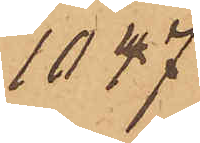1047
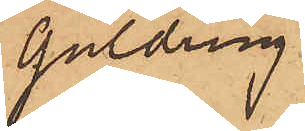Guldring
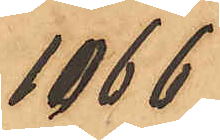1066
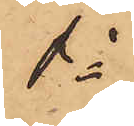do
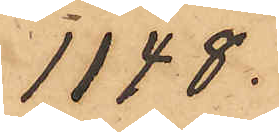1148.
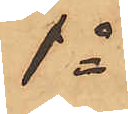do
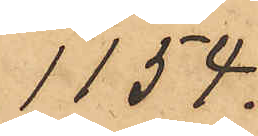1154.
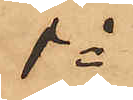do
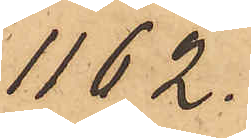1162.
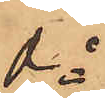do
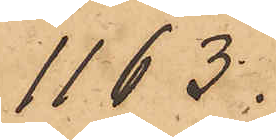1163.
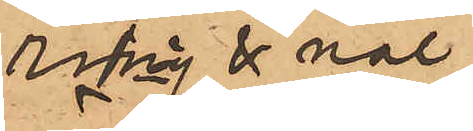ring & nål
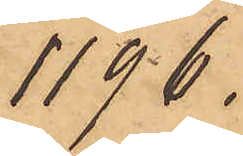1196.
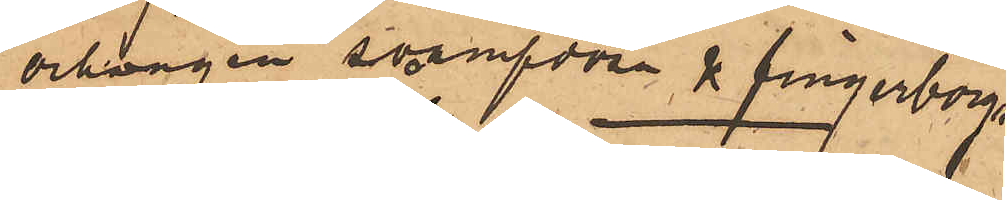örhängen svampdosa & fingerborg
